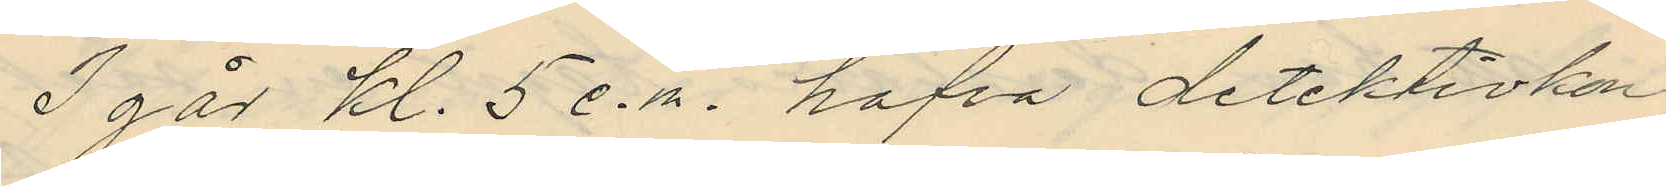I går kl. 5 e.m. hafva detektivkon¬
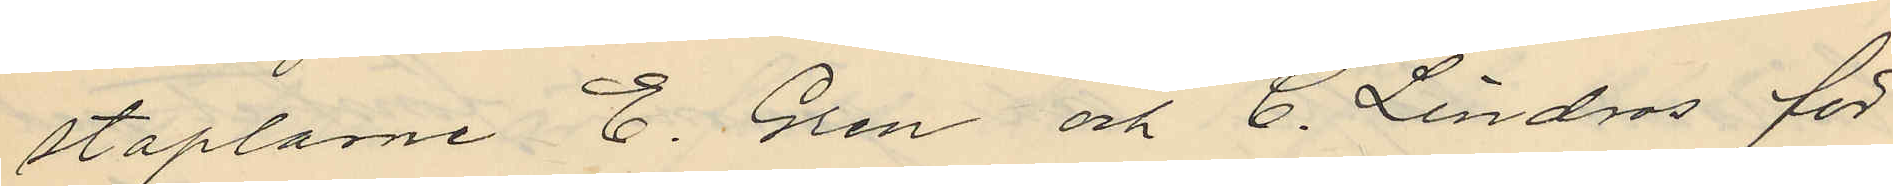staplarne E. Gren och C. Lindros för
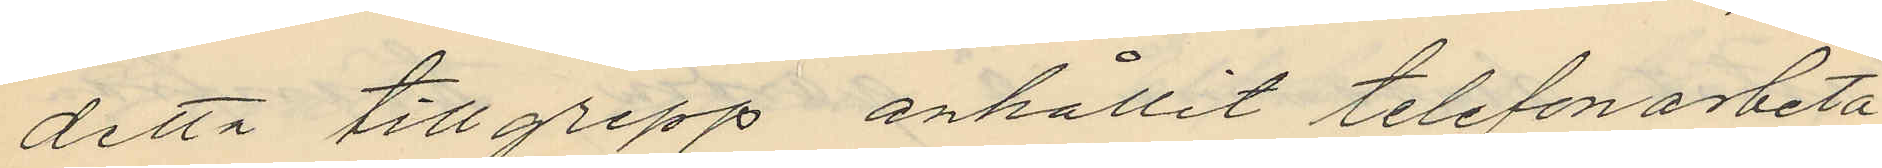detta tillgrepp anhållit telefonarbeta
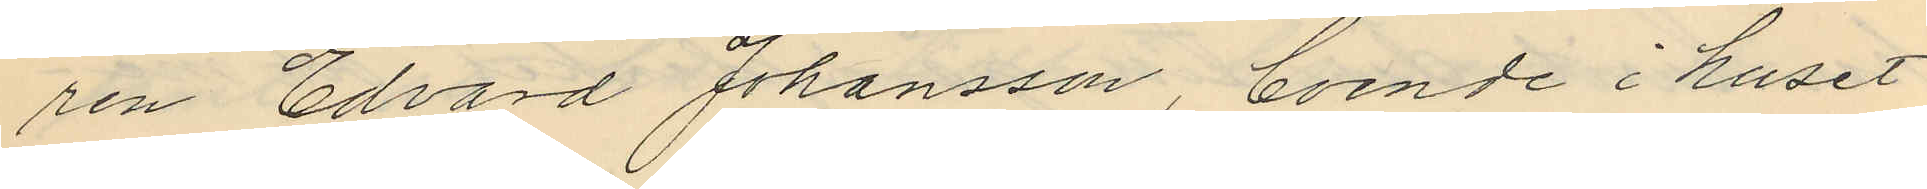ren Edvard Johansson boende i huset
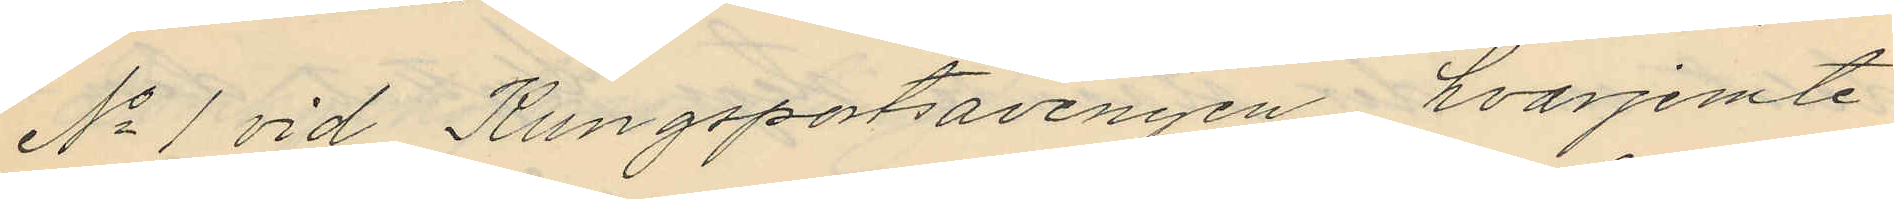No 1 vid Kungsportsavenyen, hvarjemte
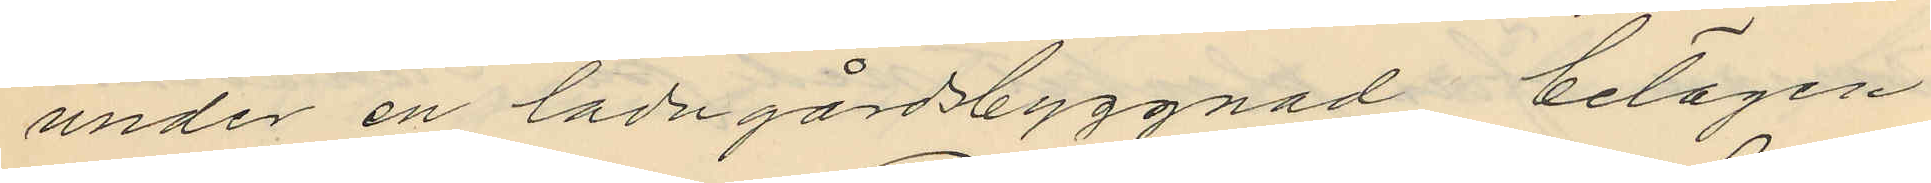under en ladugårdsbyggnad belägen
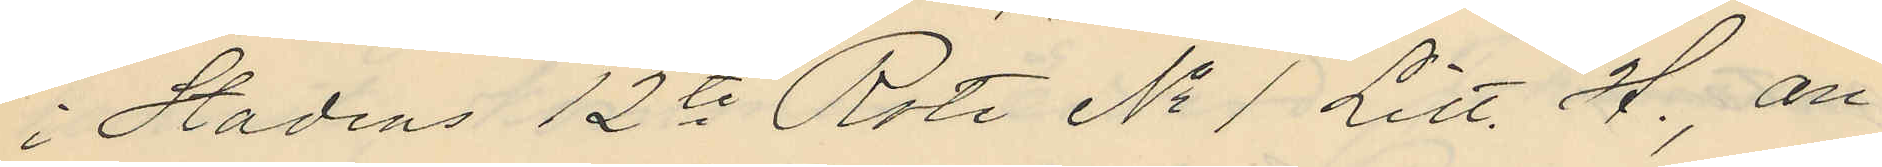i Stadens 12te Rote No 1 Litt. H., an¬
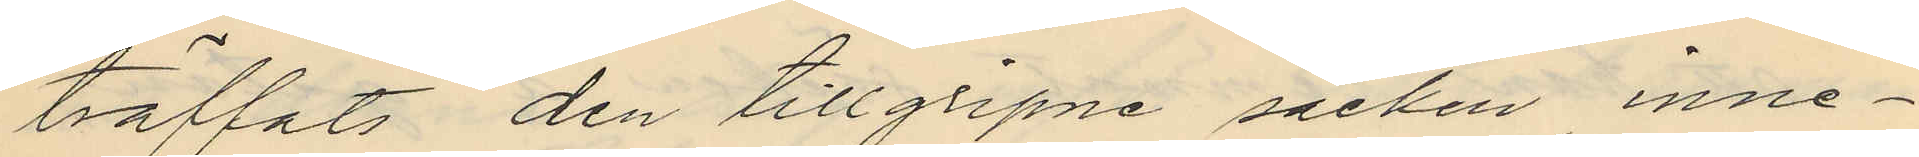träffats den tillgripne säcken, inne¬
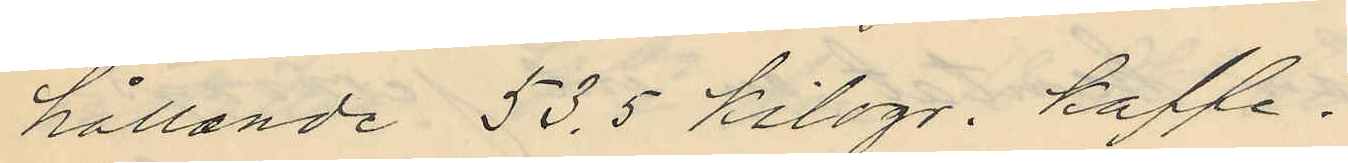hållande 53,5 kilogr. kaffe.
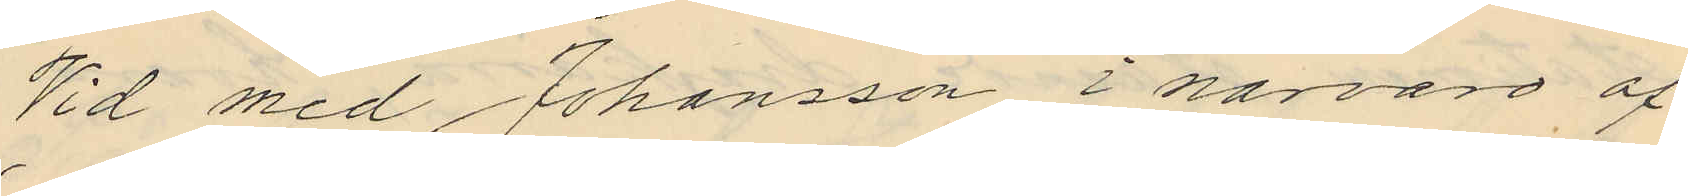Vid med Johansson i närvaro af
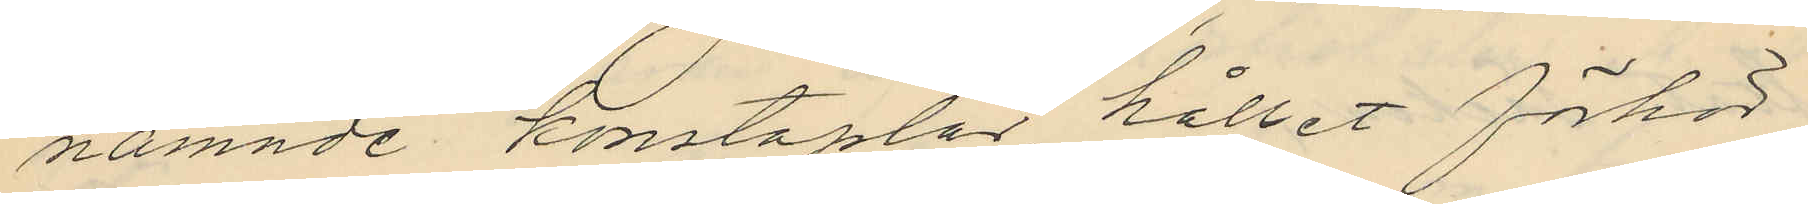nämnde konstaplar hållet förhör
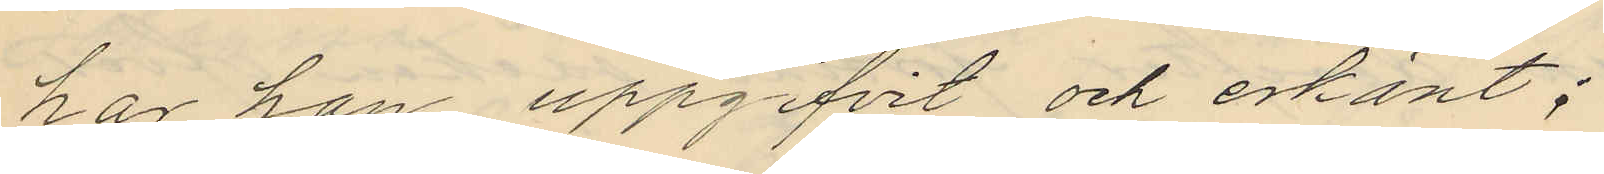har han uppgifvit och erkänt;
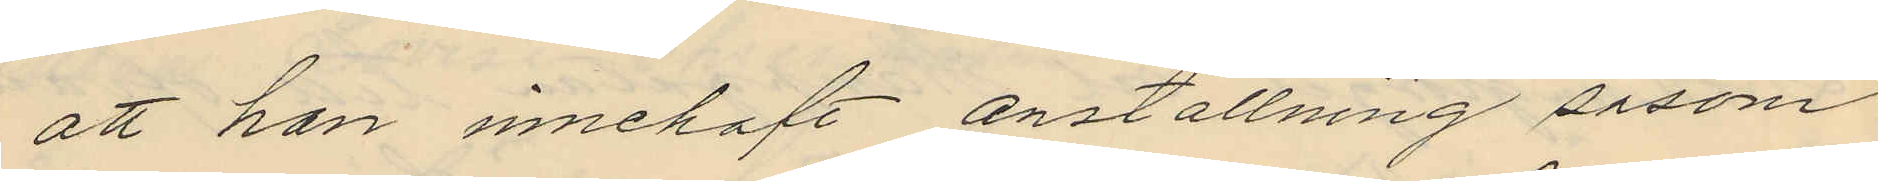att han innehaft anställning såsom
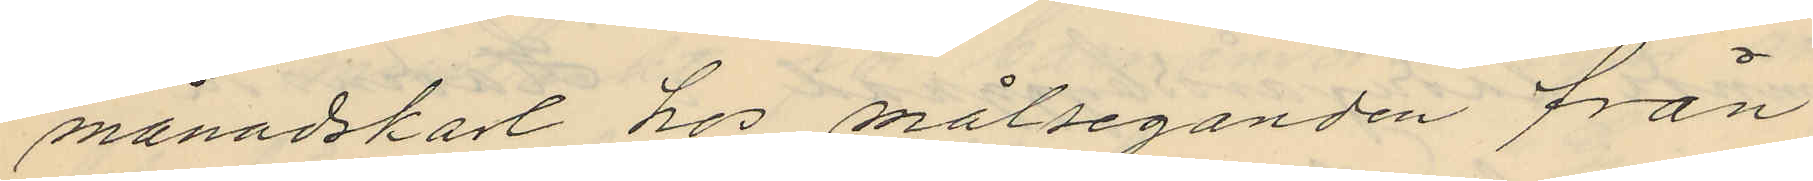månadskarl hos målseganden från
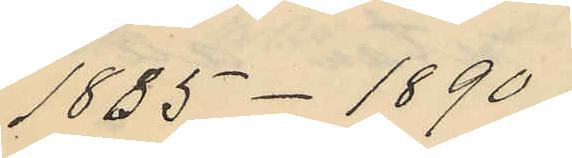1885-1890;
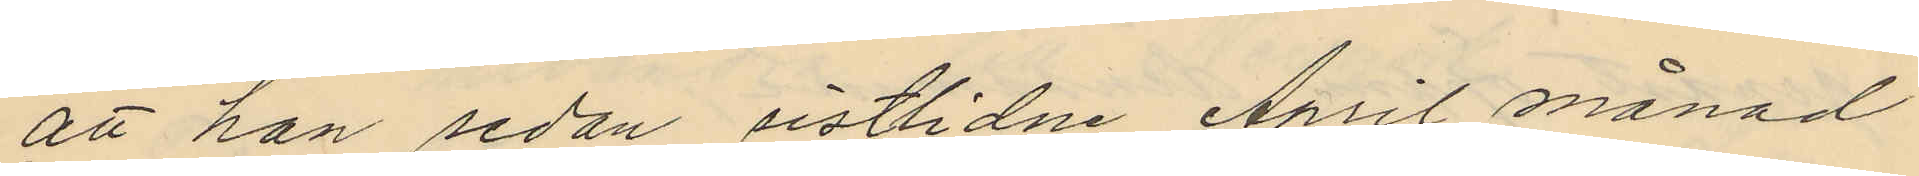att han sedan sistlidne April månad
